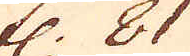fl. 81
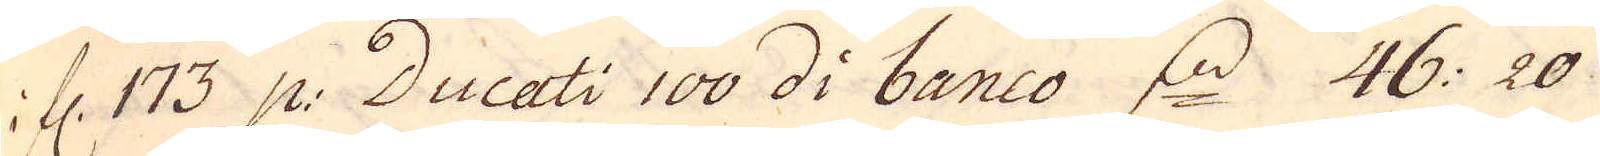i fl. 173 p: Ducati 100 di banco d. 46:20
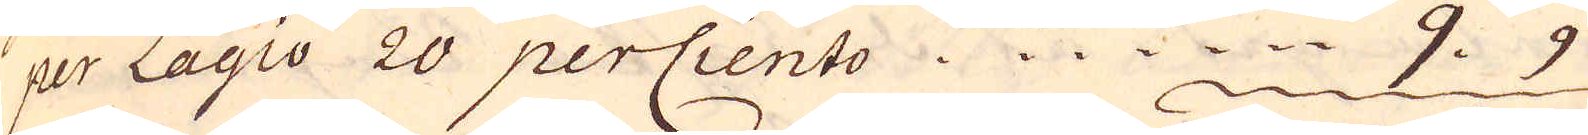per Lagio 20 perCiento. 9. 9
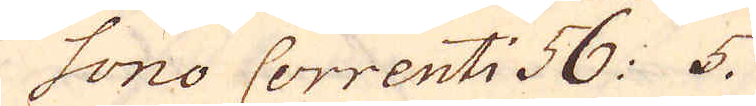Sono Correnti 56: 5.
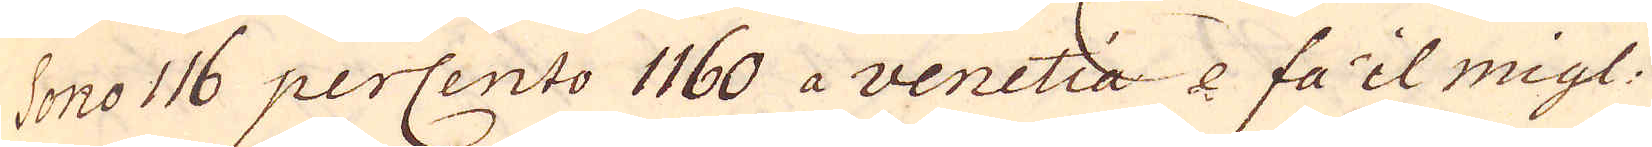Sono 116 perCento 1160 a venetia e fa'il migl.
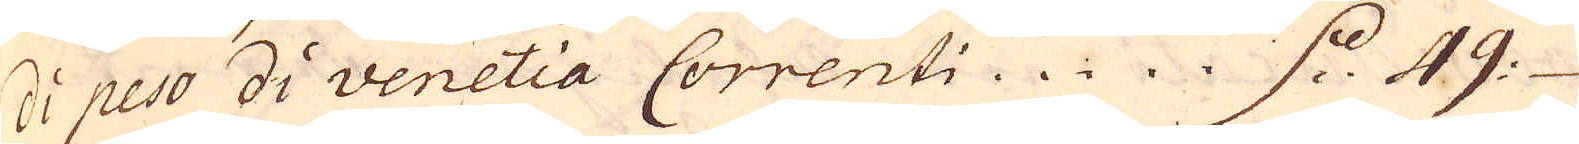di peso di venetia Correnti d. 49
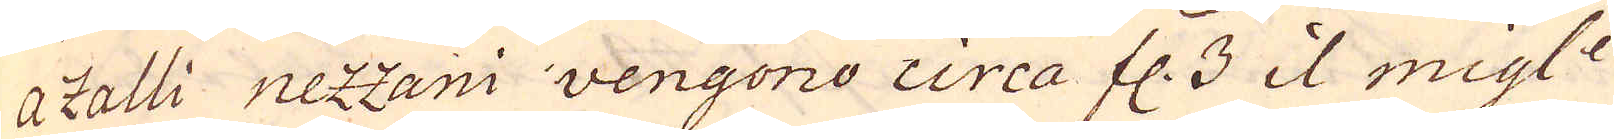a Zalli nezzani vengono circa fl. 3 il migl:e
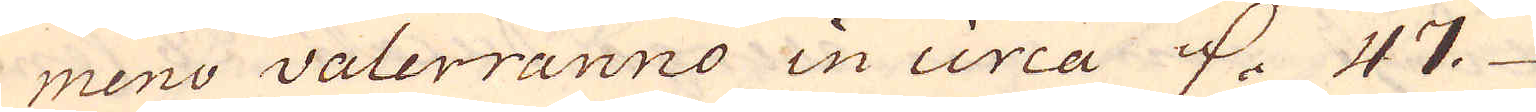meno valerranno in circa d. 47.
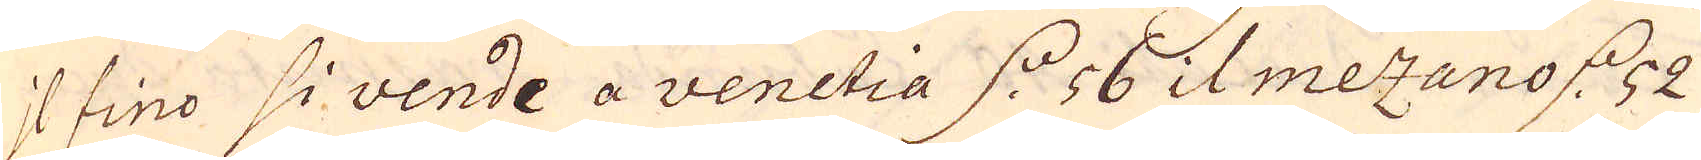il fino si vende a venetia d. 56 il mezano d. 52
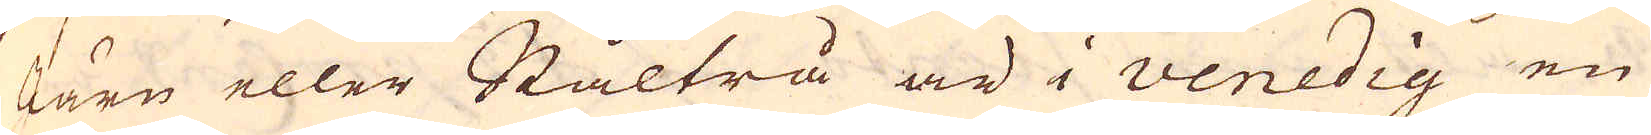Järn eller Ståltrå är i Venedig en
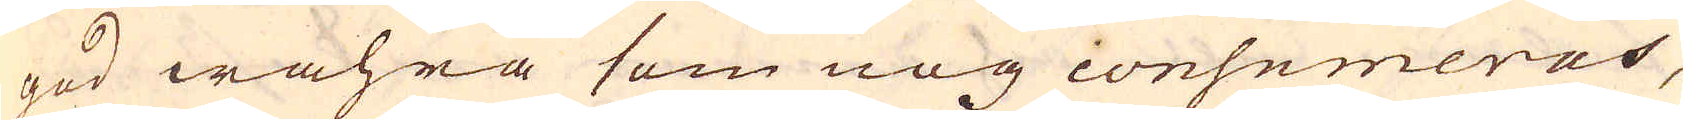god wahra som nog consumeras,
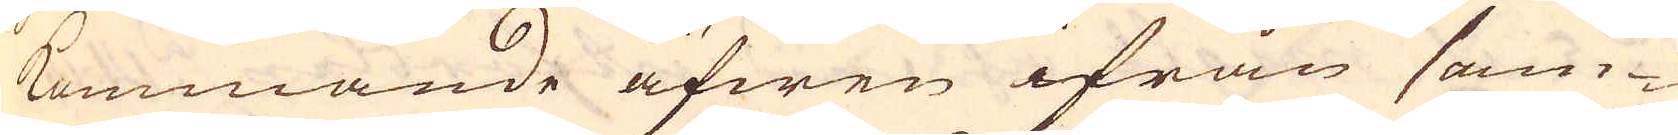kommande äfwen ifrån sam-
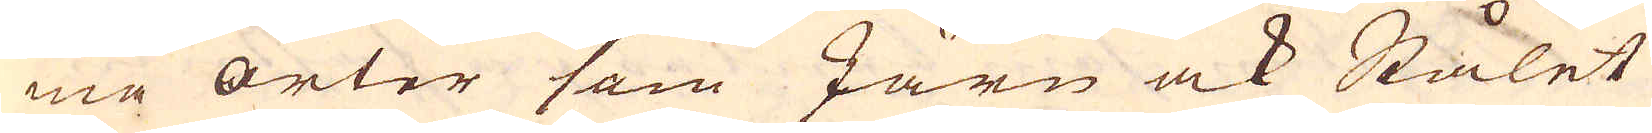ma orter som Järn ock Stålet
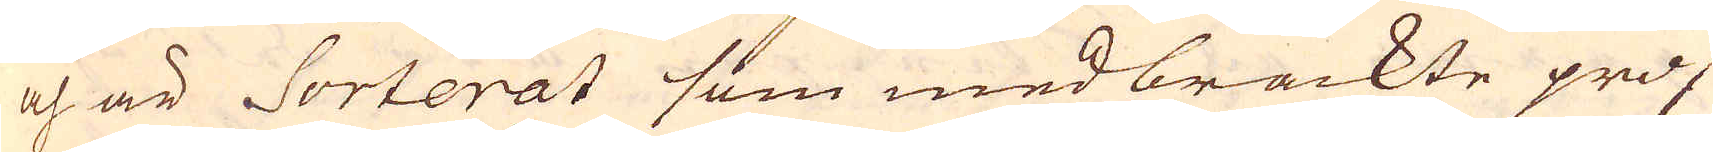och är Sorterat som medbrackte prof
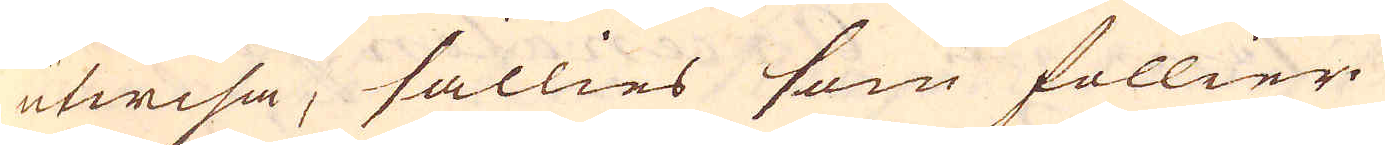utwisa, sällies som föllier
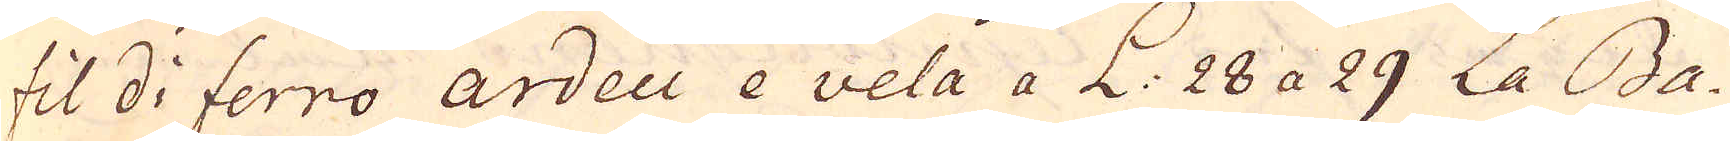fil di ferro ardeci e vela a L: 28 a 29 La Ba-
